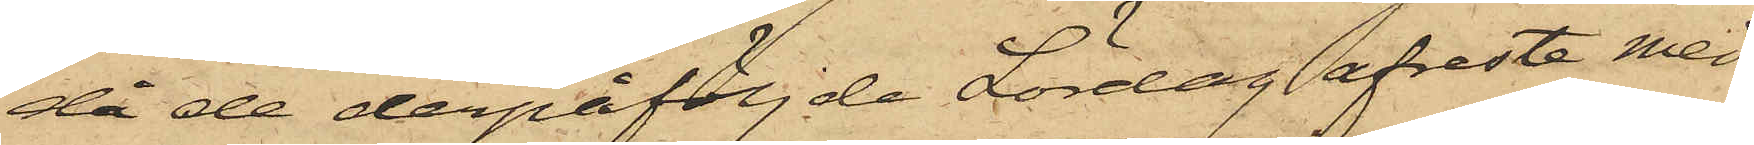då de derpåföljde Lördag afreste med
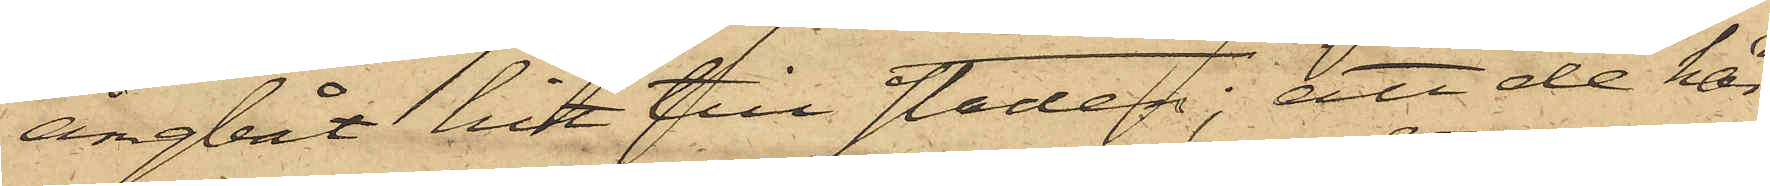ångbåt hit till staden; att de här
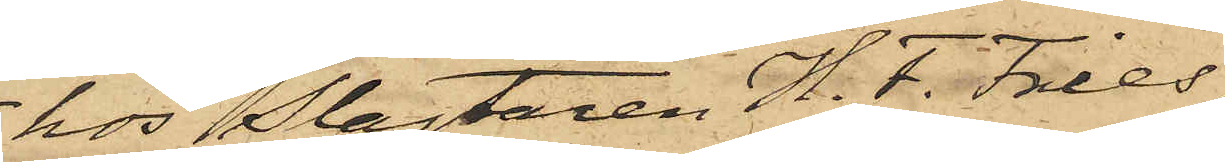hos Slagtaren H. F. Fries,
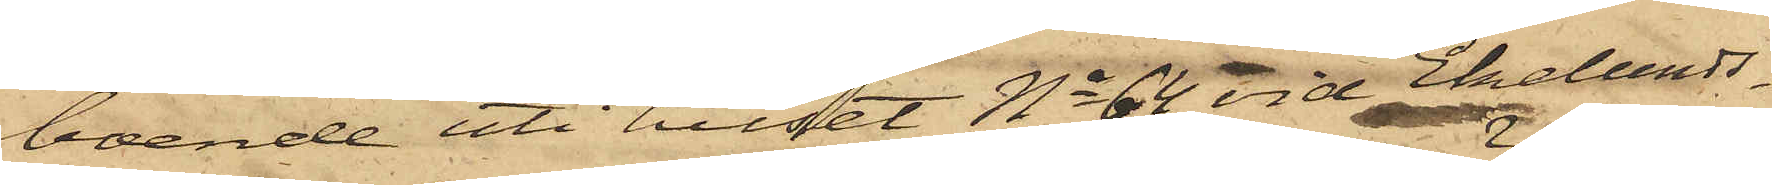boende uti huset No 64 vid Ekelunds¬
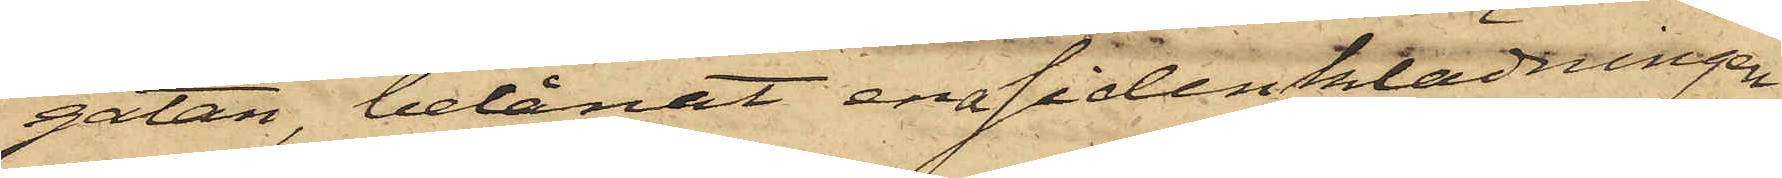gatan, belånat ena sidenklädningen
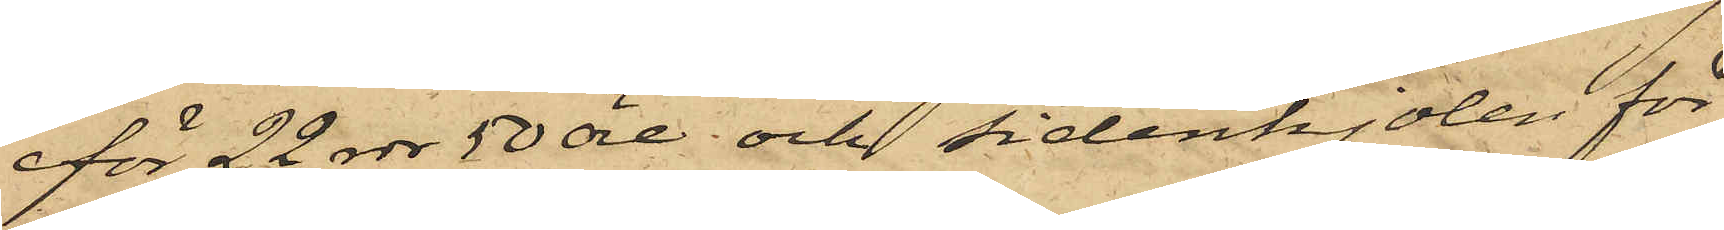för 22 rdr 50 öre och sidenkjolen för
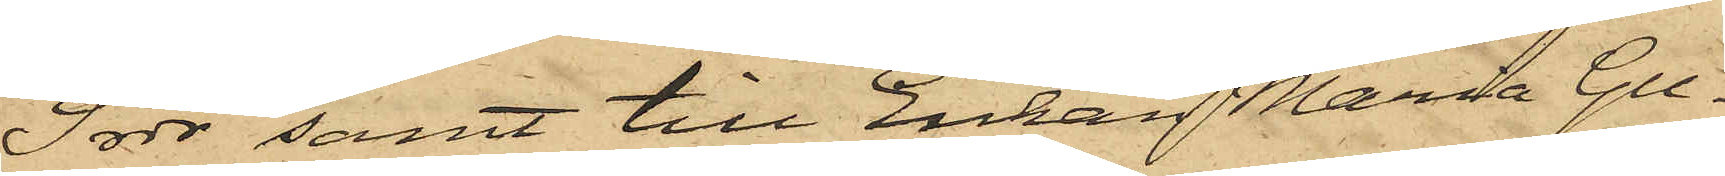9 rdr samt till Enkan Maria Gu¬
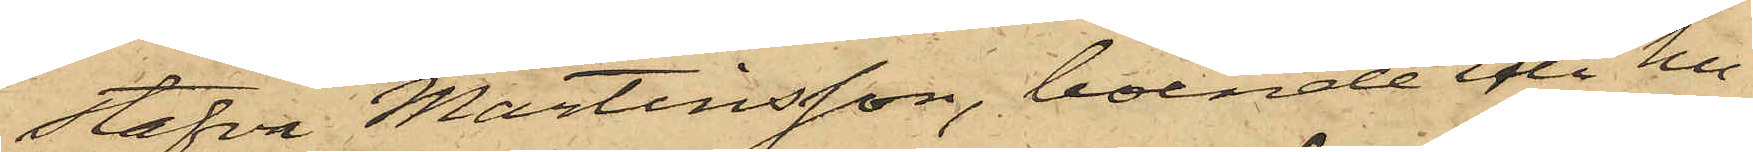stafva Martinsson, boende efter hu¬
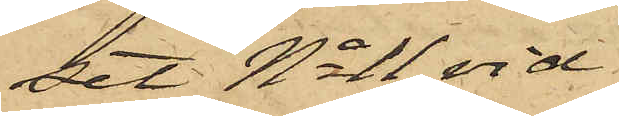set No 11 vid
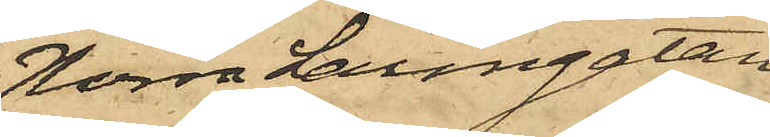Norra Larmgatan
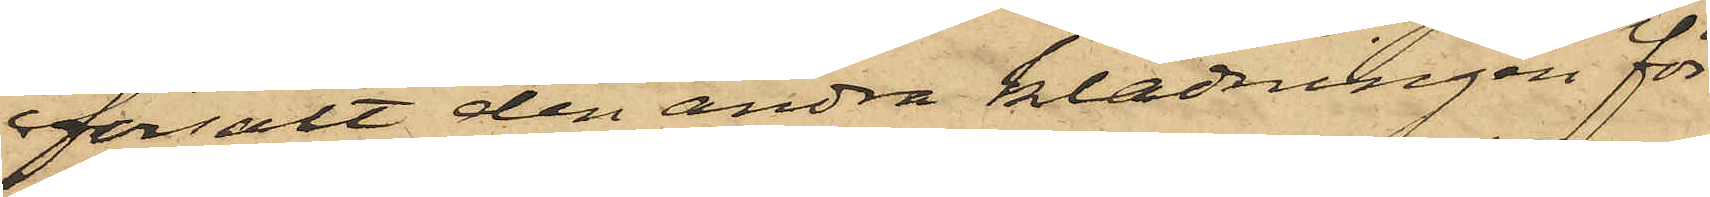försålt den andra klädningen för
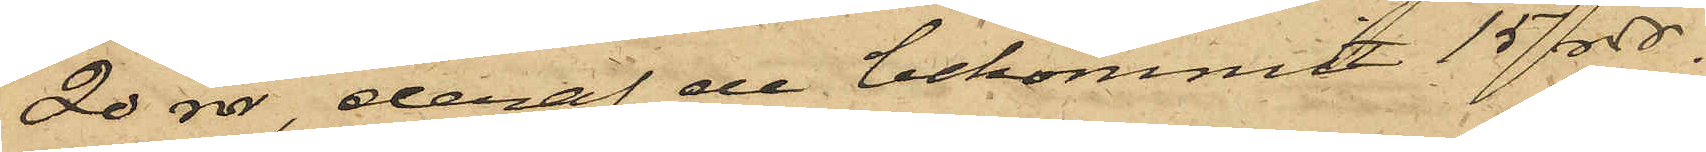20 rdr, deraf de bekommit 15 rdr.
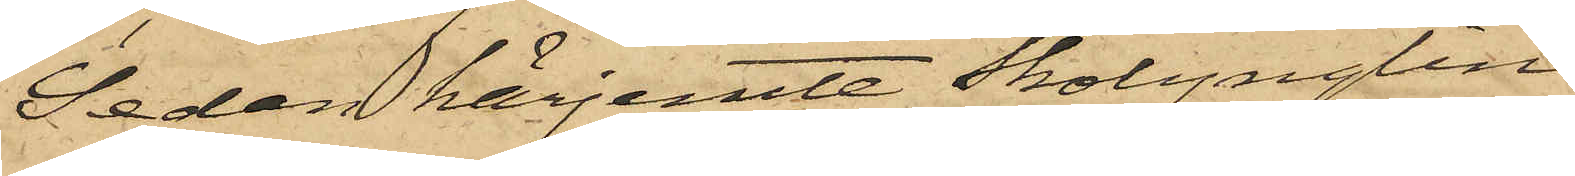Sedan härjemte Skolynglin¬
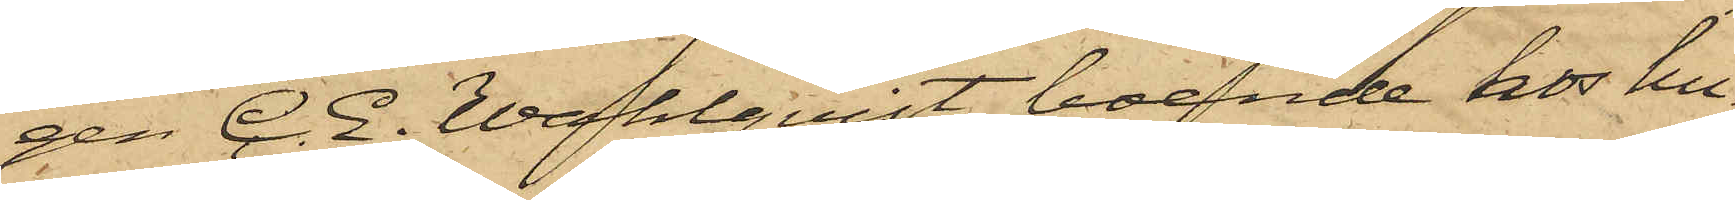gen C. E. Wahlqvist, boende hos hu¬
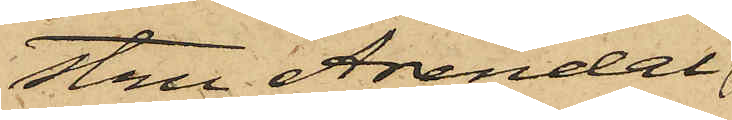stru Arendal
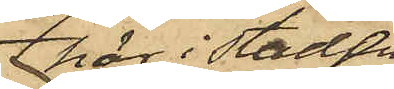här i Staden
